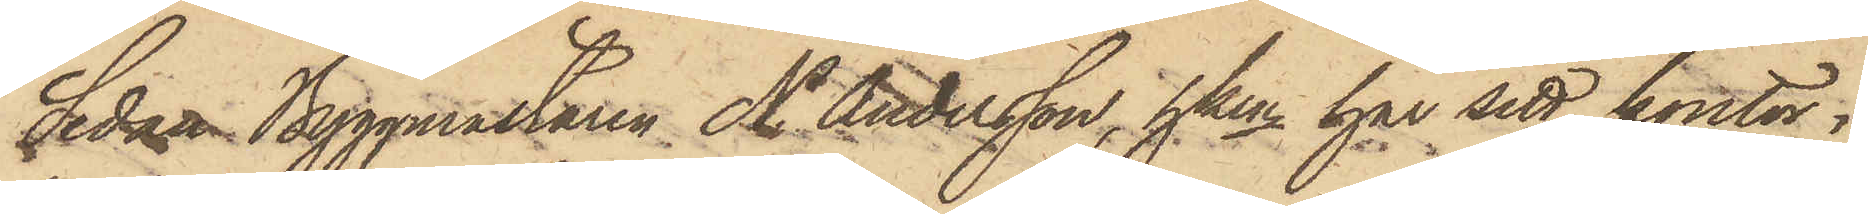Sedan Byggmästaren N. Andersson, hken har sitt kontor i
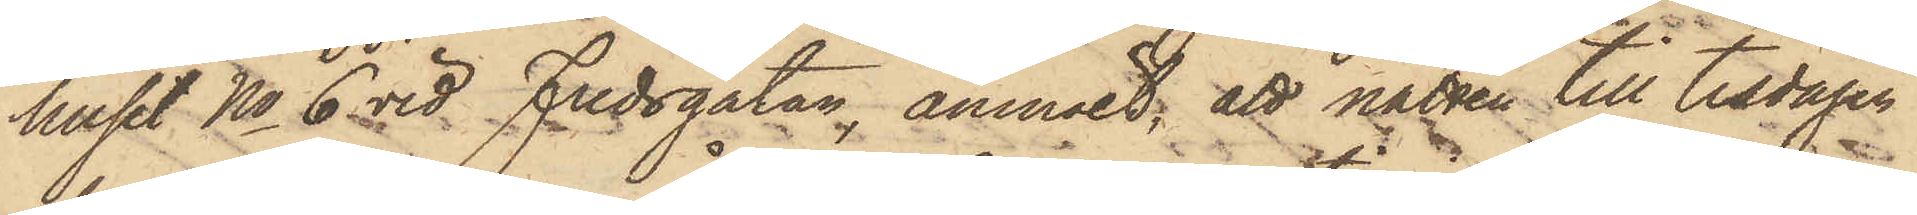huset No 6 vid Fredsgatan, anmält, att natten till tisdagen
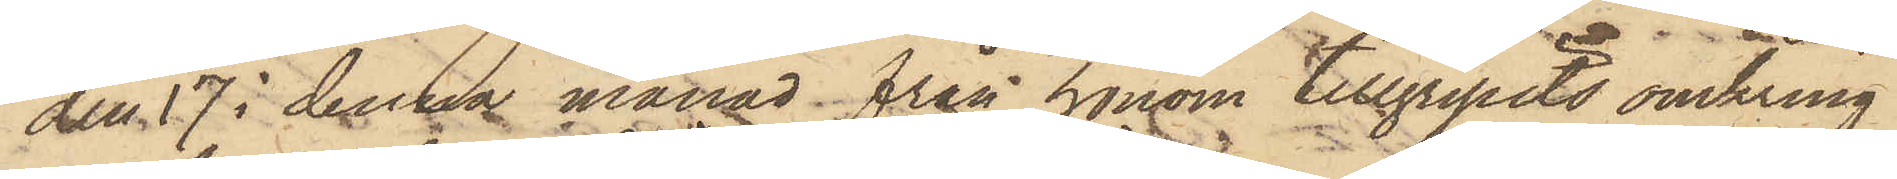den 17 i denna månad från honom tillgripits omkring
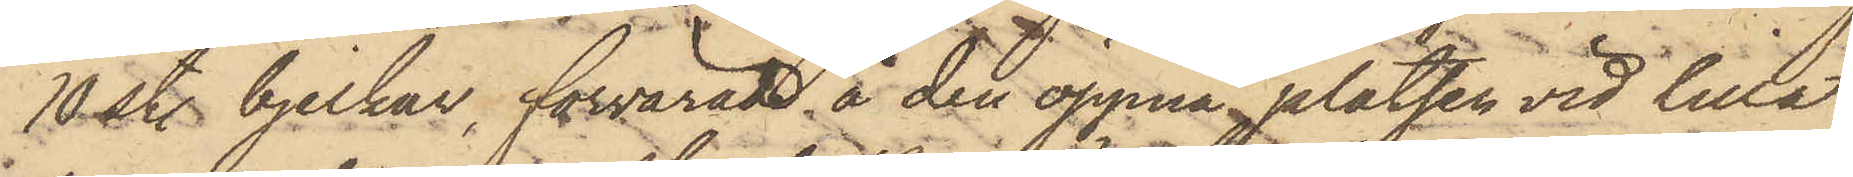10 st. bjelkar, förvarade å den öppna platsen vid lilla
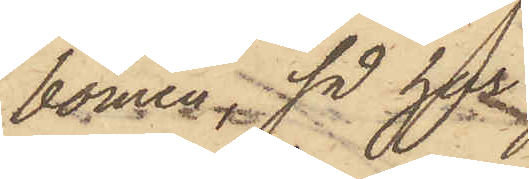bomen, så har
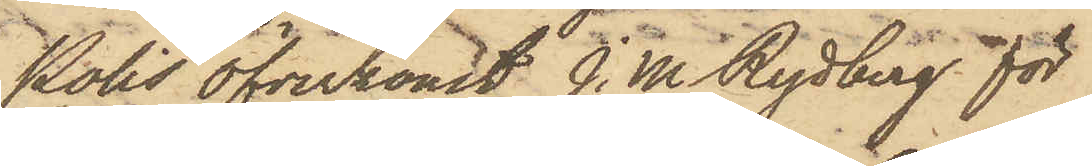Polis Öfverkonst J. M. Rydberg för
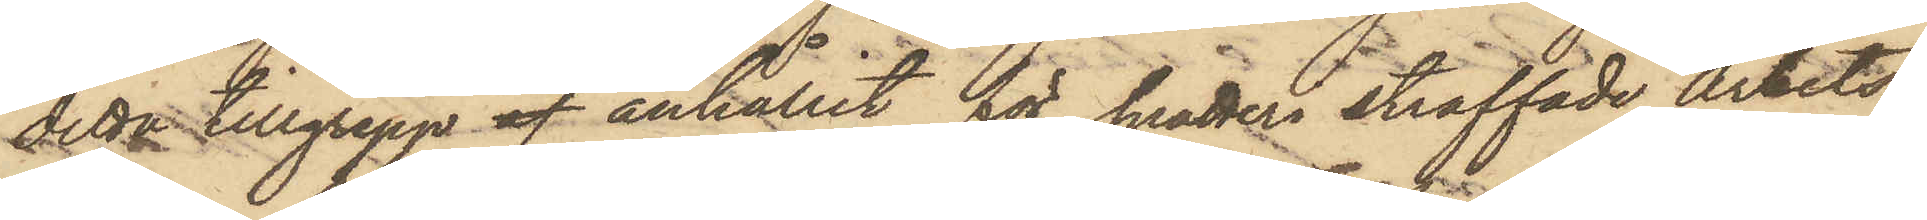detta tillgrepp af anhållit för snatteri straffade Arbets¬
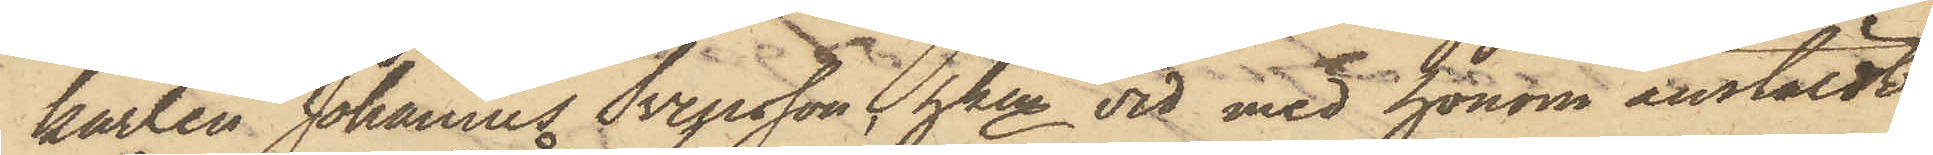karlen Johannes Svensson, hken vid med honom anstäldt
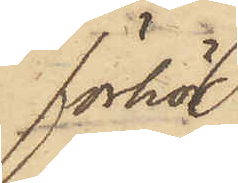förhör
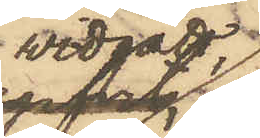widgått,
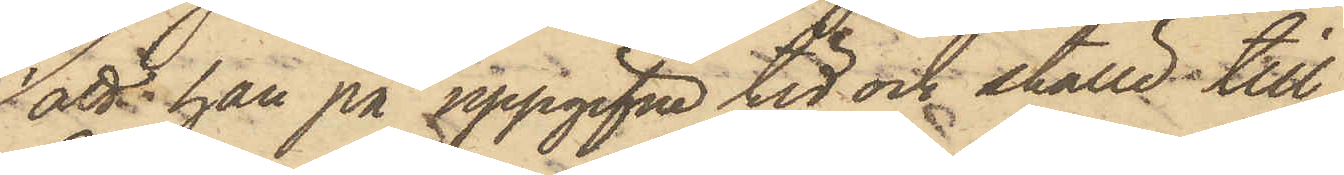att han på uppgifne tid och ställe till¬
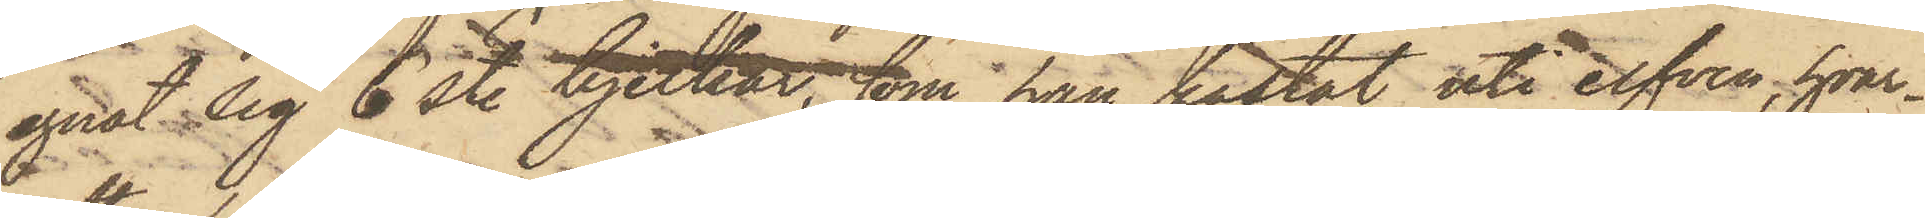egnat sig 6 st. bjelkar, som han kastat uti elfven, hvar¬
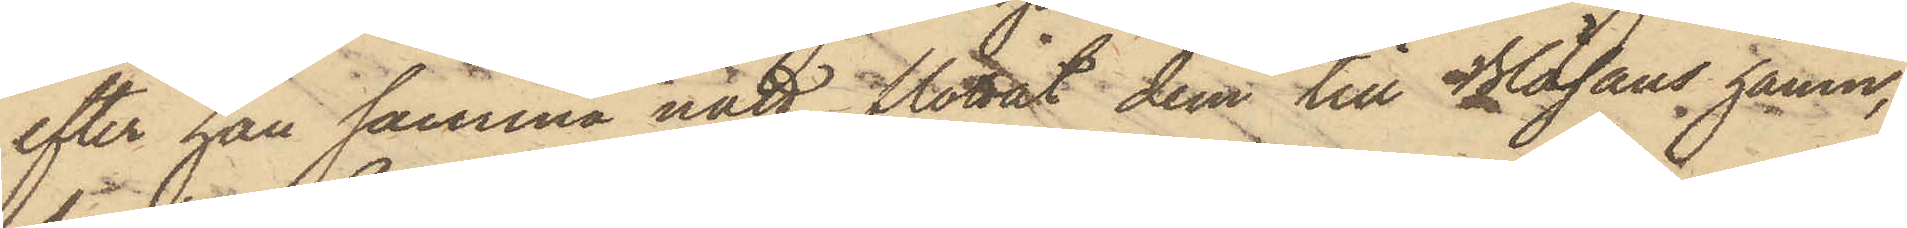efter han samma natt flottat dem till Bläsans hamn,
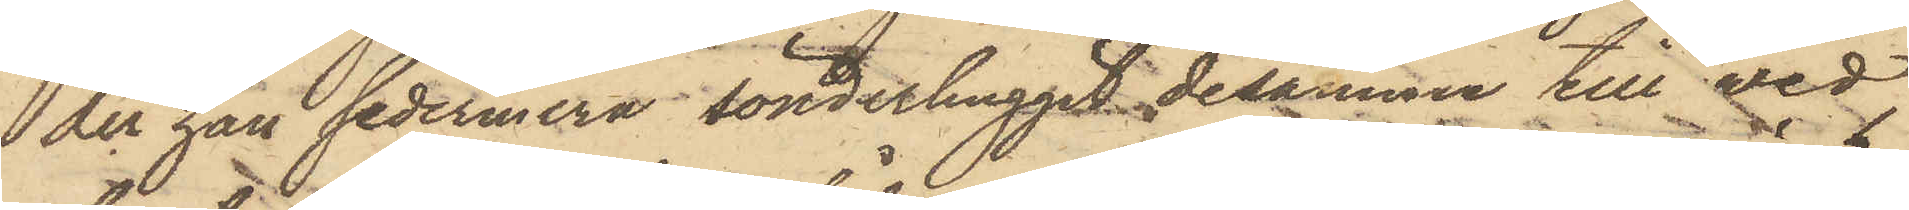der han sedermera sönderhuggit desamma till ved,
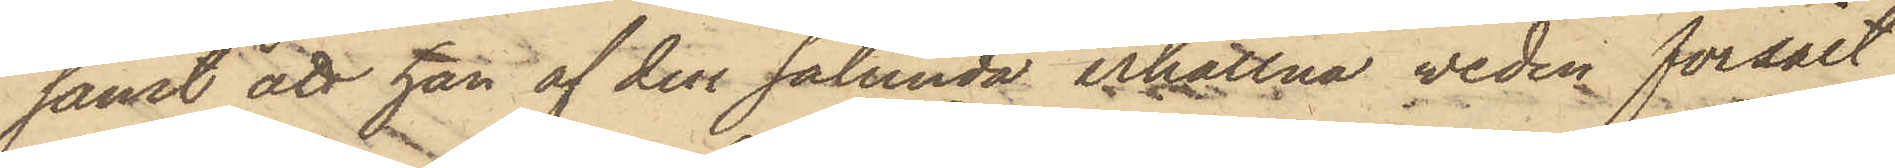samt att han af den sålunda erhållna veden försålt
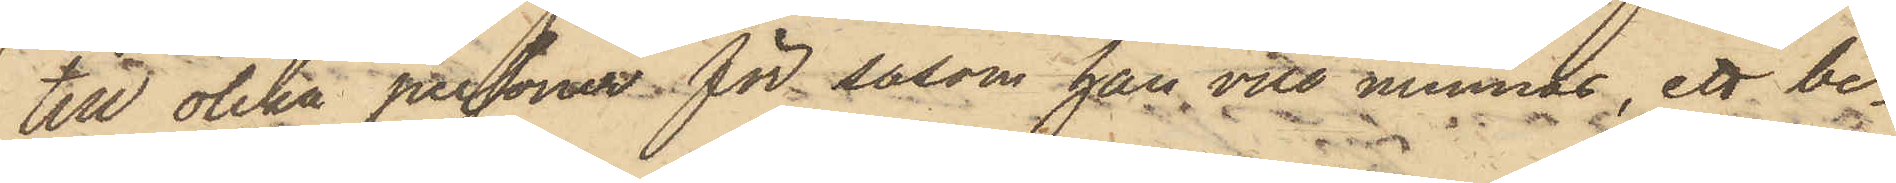till olika personer för såsom han vill minnas, ett be¬
